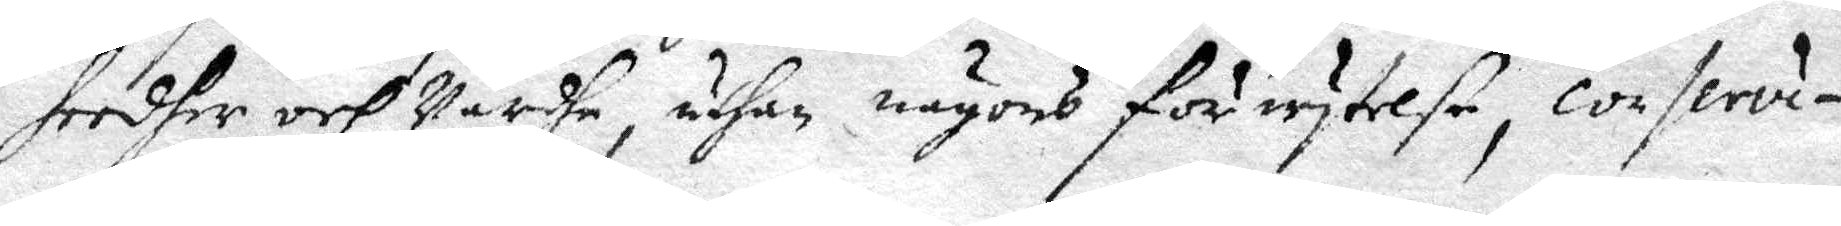heedher och Wärdhe, uthan någons förwytelse conservi¬
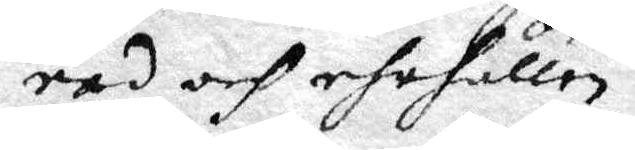rad och ehrhållen.
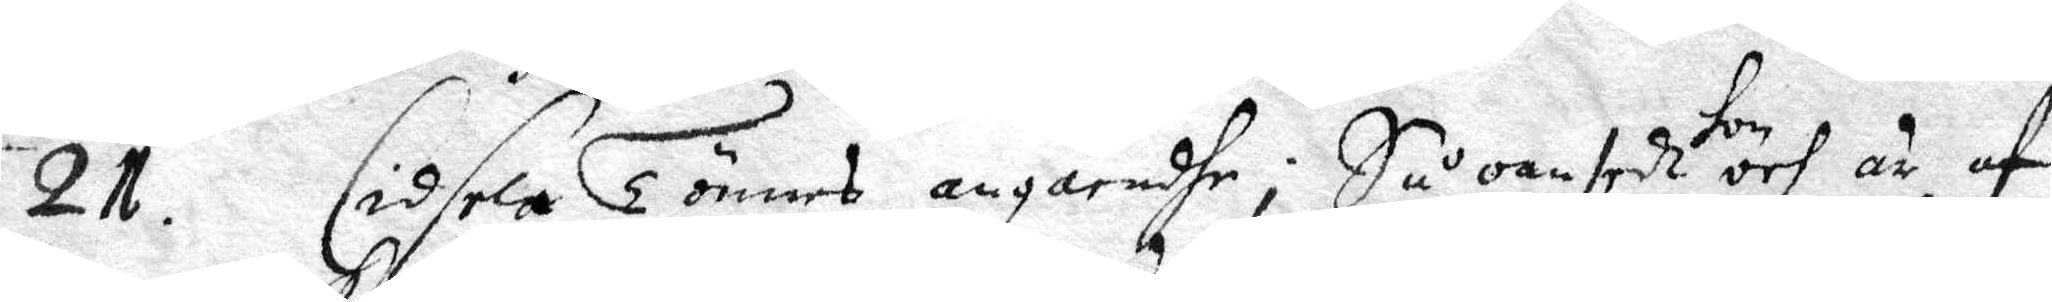21. Cidsela Tönnes angåendhe: Så oanstedt hon och är af
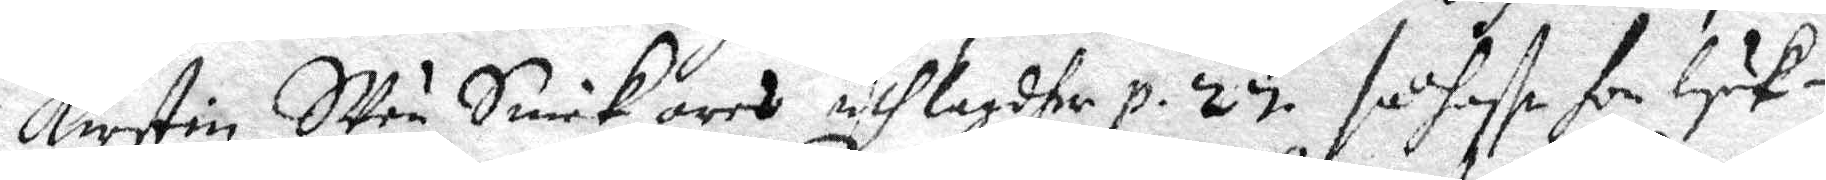Kirstin Sven Sickares uthlagdher p 27. så haffr hon lyck¬ 
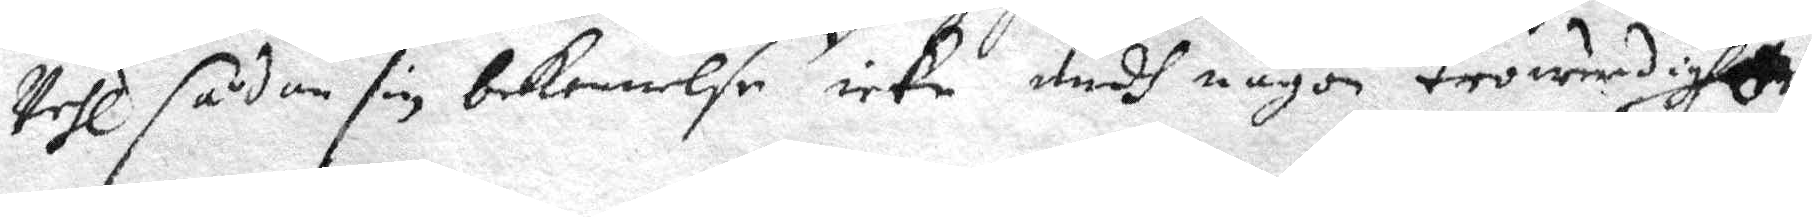Wehl sådan sin bekennelse icke medh någon trowerdigheen
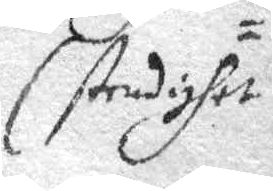Stendighet
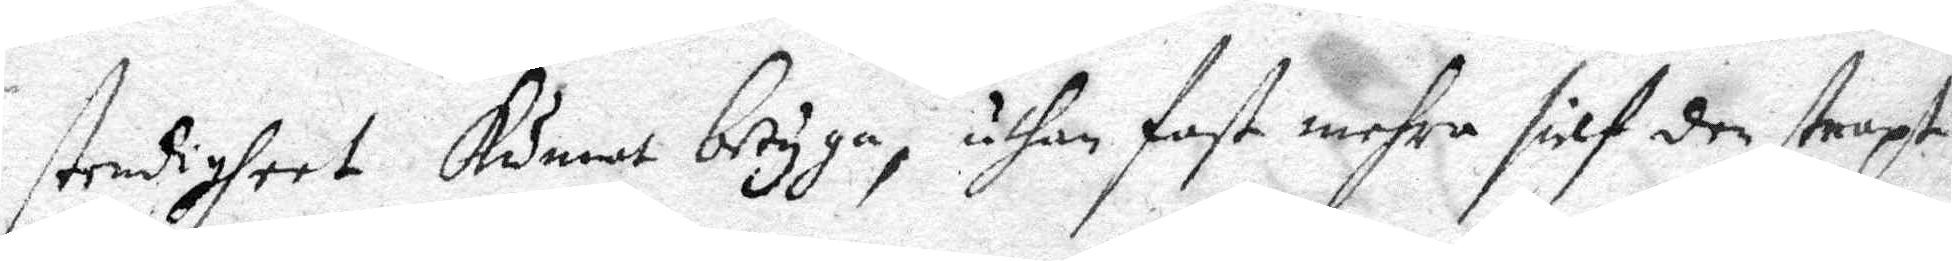stendigheet kunnat betyga, uthan fast mehra sielf den straxt
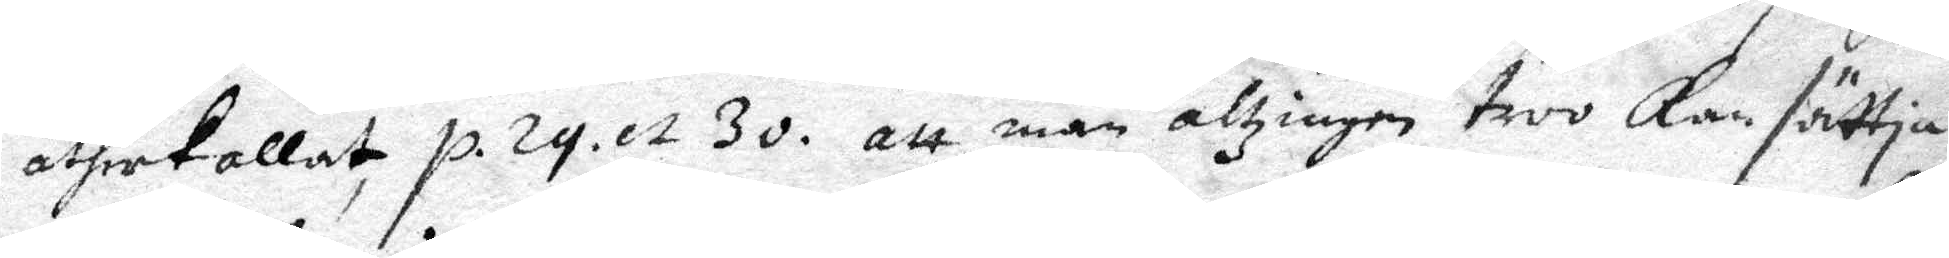åtherkallat p. 29. et 30. att man altzingen troo Kan sättia 
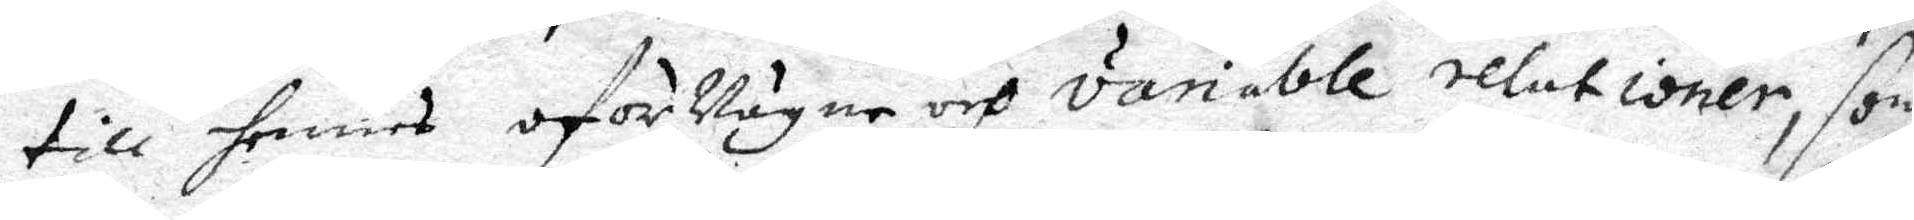till hennes oförvägne och variable relationer, som
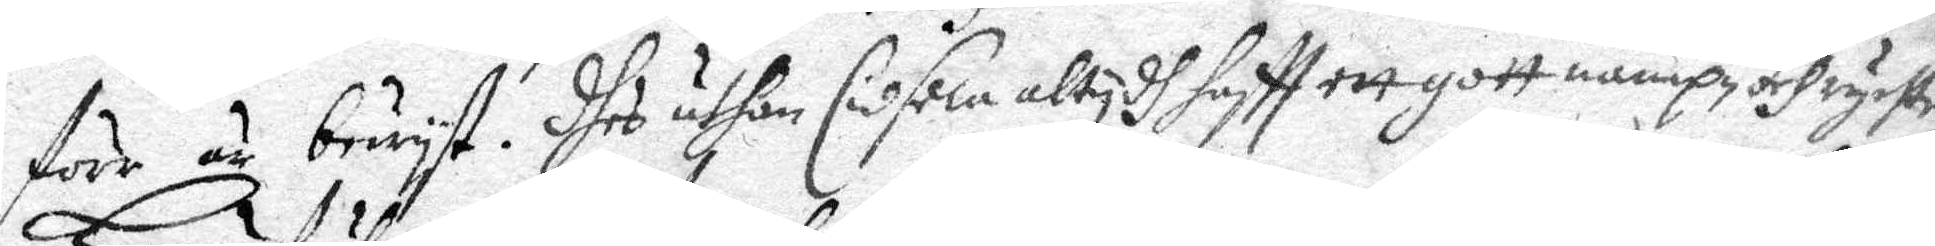förr är bewyst. Dhet uthan Cidsela altydh haftt ett gott nampn och rychte.
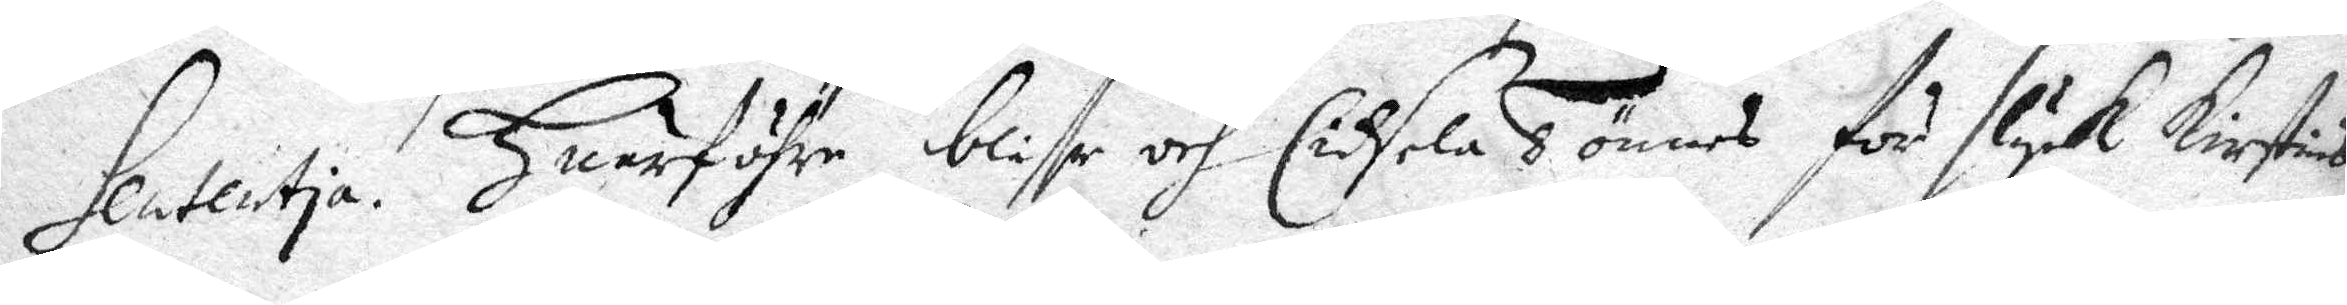Sententia. Huarföhre bliffr och Cidsela Tönnes för slyk Kirstin
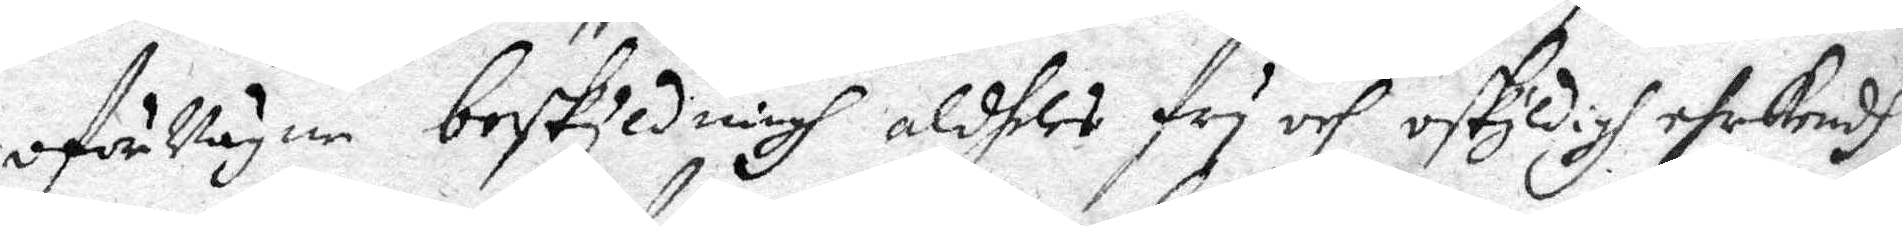oförvägne beskyldningh aldheles fry och oskyldigh ehrkendh
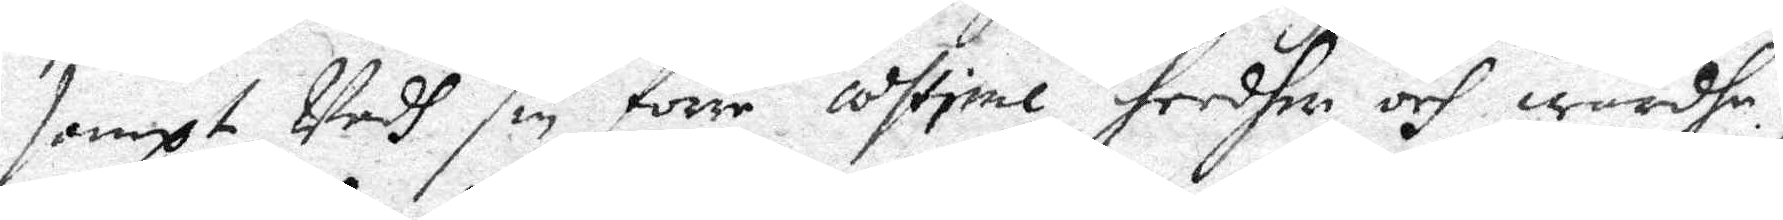sampt Wedh sin förre åftime, heedher och wärhe,
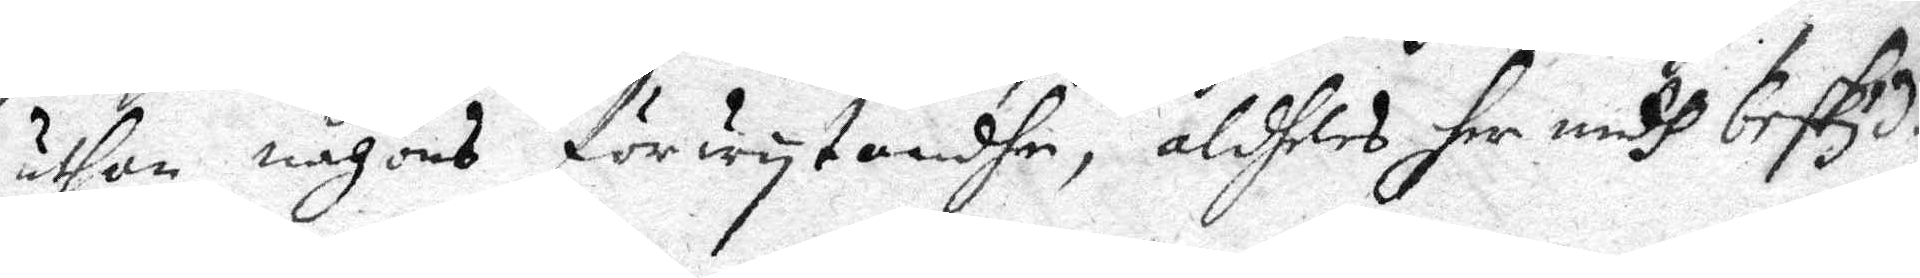uthan någons förwytandhe, aldheles her medh beskyd¬
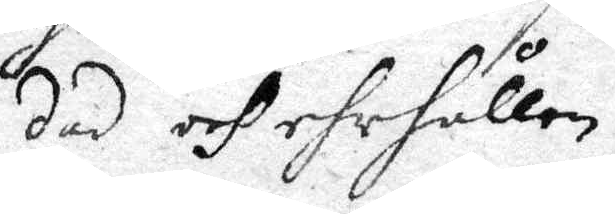dad och ehrhållen.
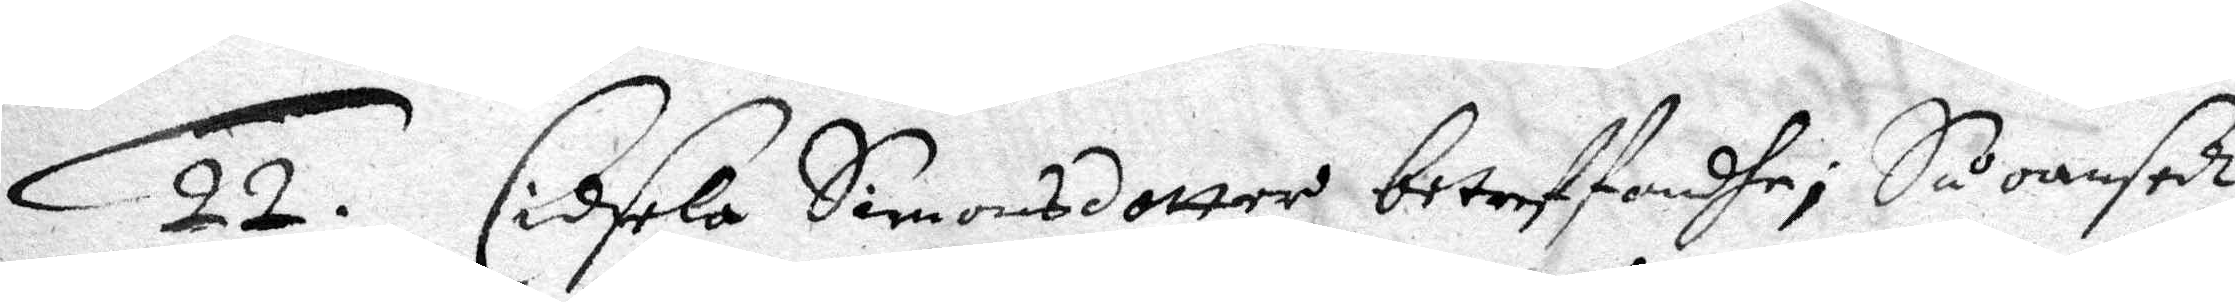22. Cidsela Simonsdotter betreffandhe; Så oansedt
